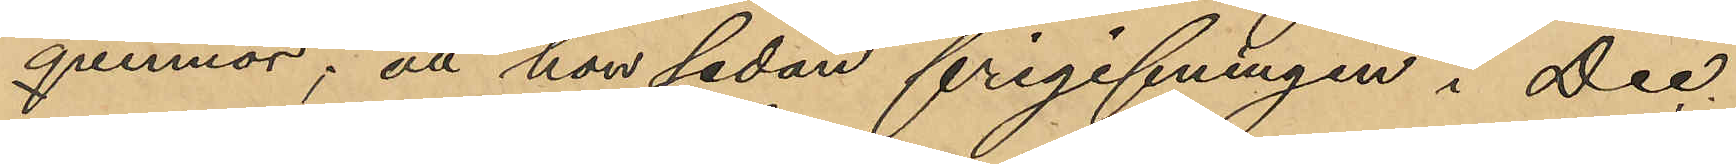qvinnor; att hon sedan frigifningen i Dec.
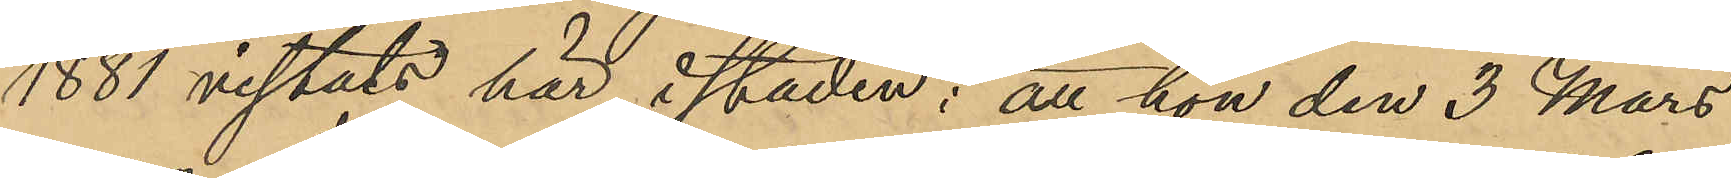1881 vistats här i staden; att hon den 3 Mars
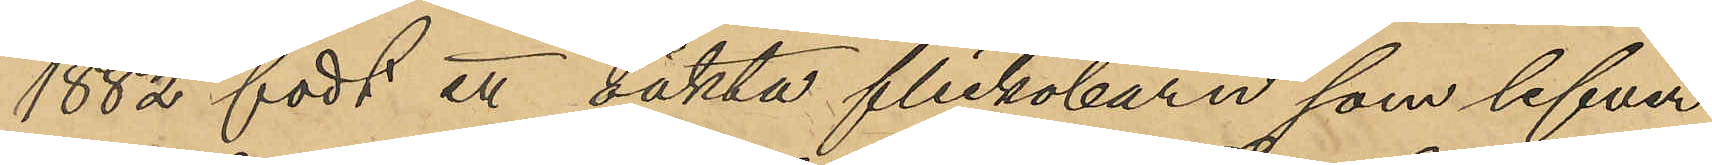1882 födt ett oäkta flickobarn som lefver
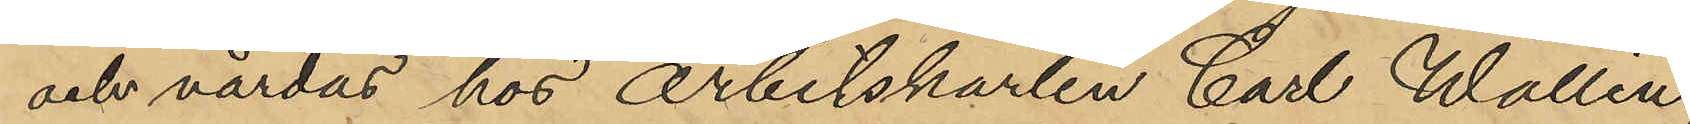och vårdas hos arbetskarlen Carl Wallin,
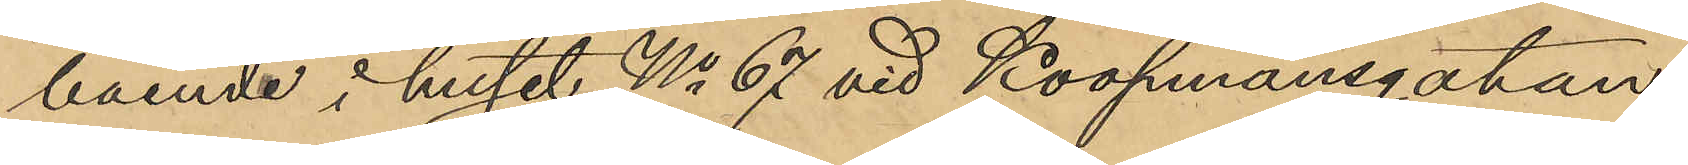boende i huset No 67 vid Koopmansgatan;
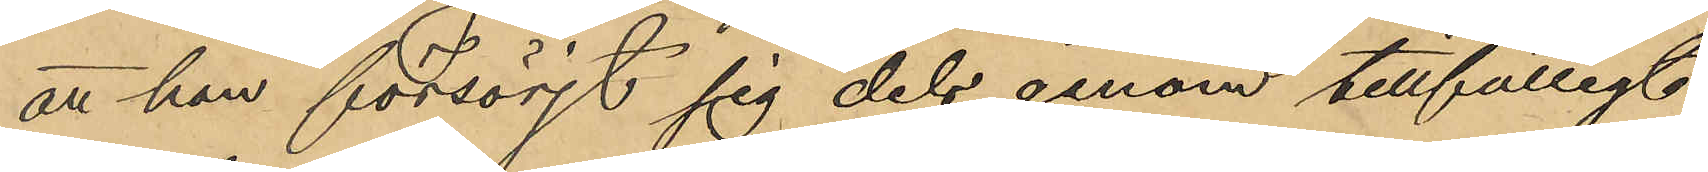att hon försörjt sig dels genom tillfälligt
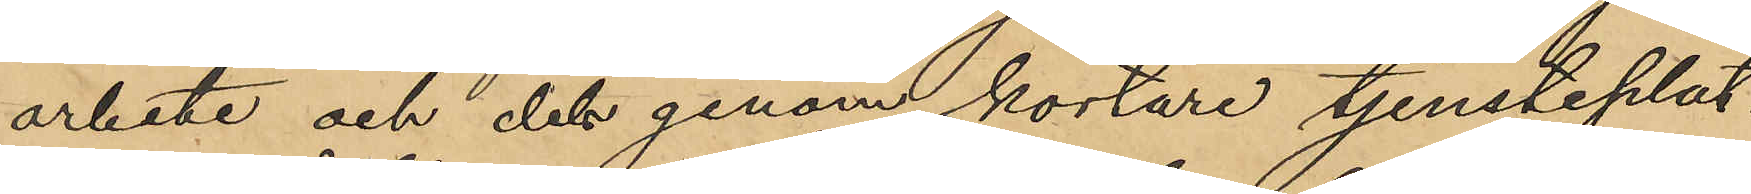arbete och dels genom kortare tjensteplat¬
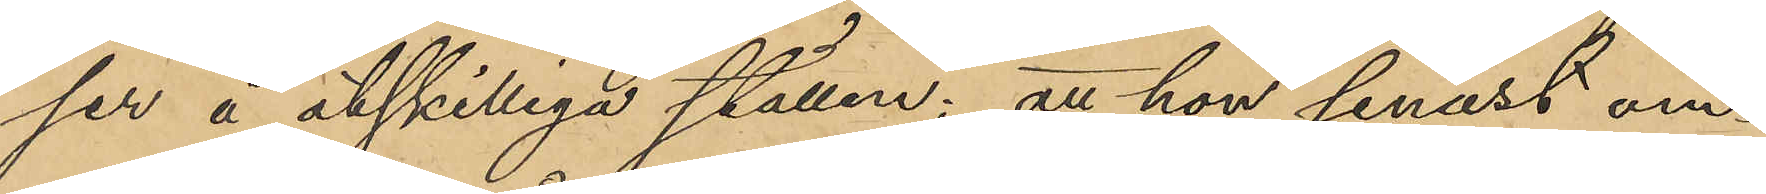ser å åtskilliga ställen; att hon senast om¬
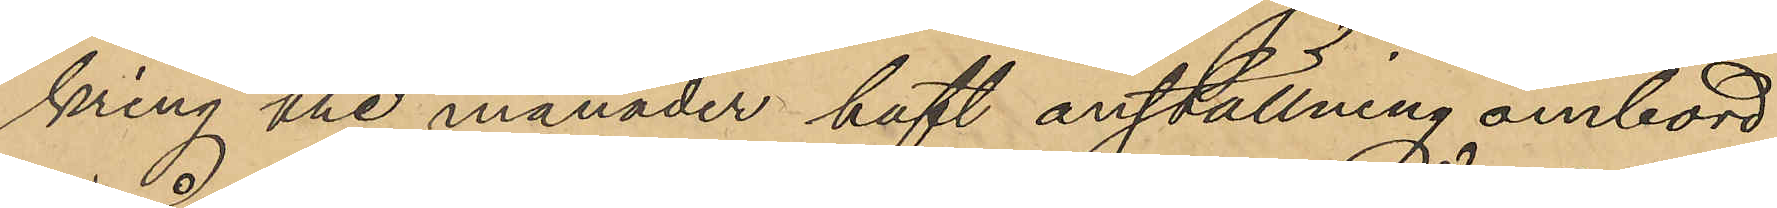kring tre månader haft anställning ombord
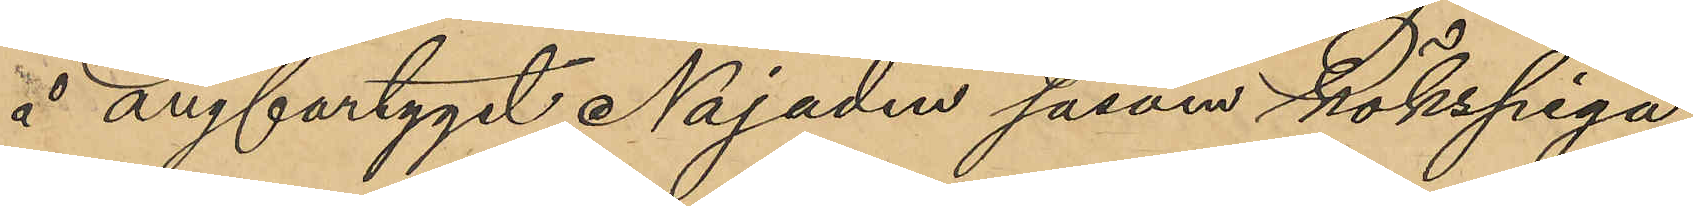å ångfartyget Najaden såsom Kökspiga,
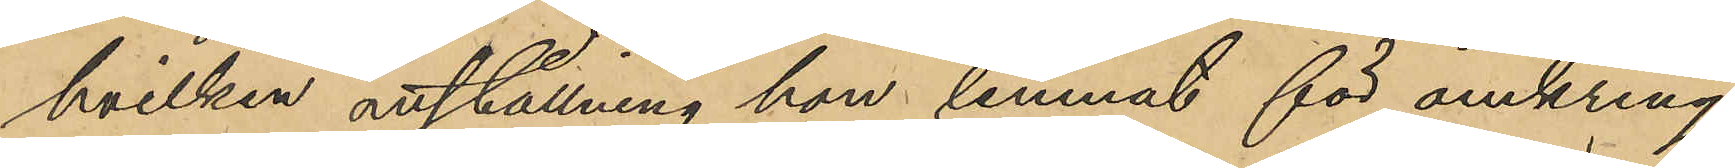hvilken anställning hon lemnat för omkring
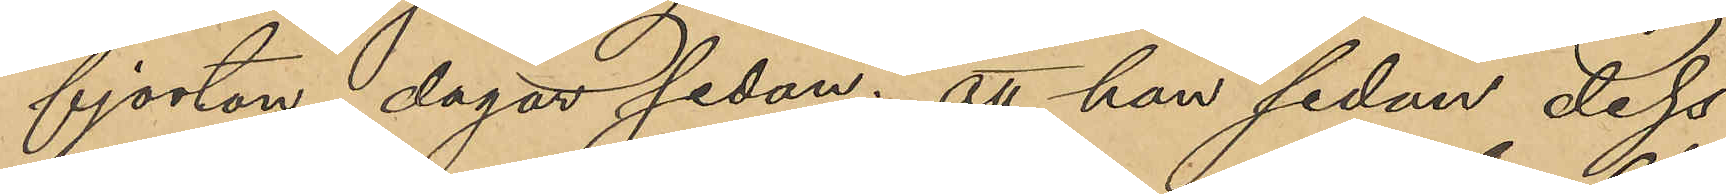fjorton dagar sedan; att hon sedan dess
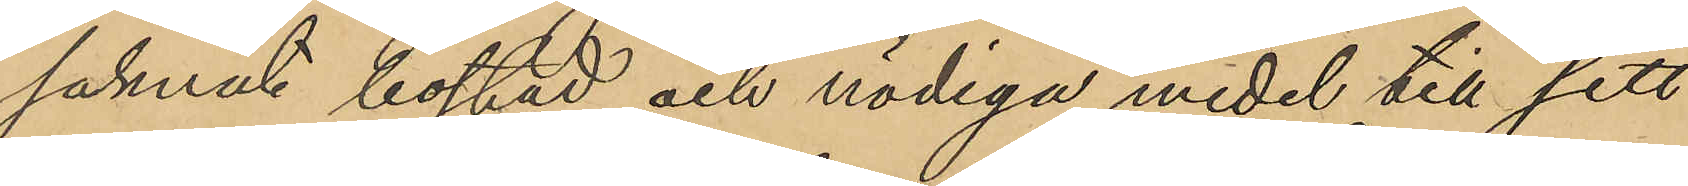saknat bostad och nödiga medel till sitt
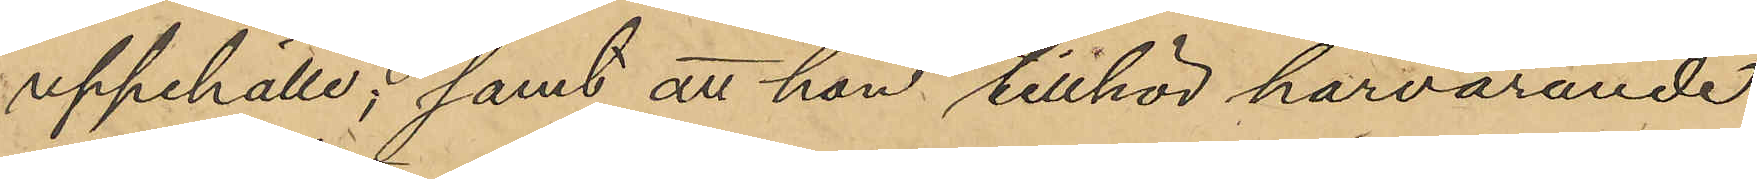uppehälle; samt att hon tillhör härvarande
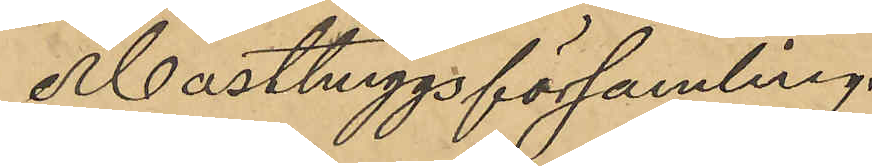Masthuggsförsamling.
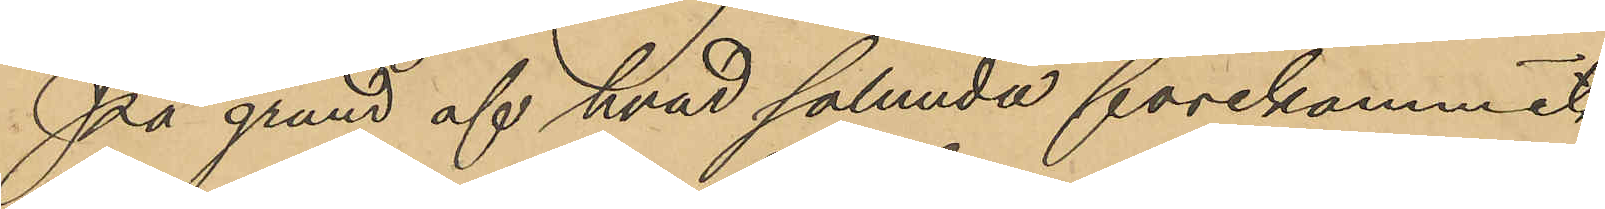På grund af hvad sålunda förekommit
